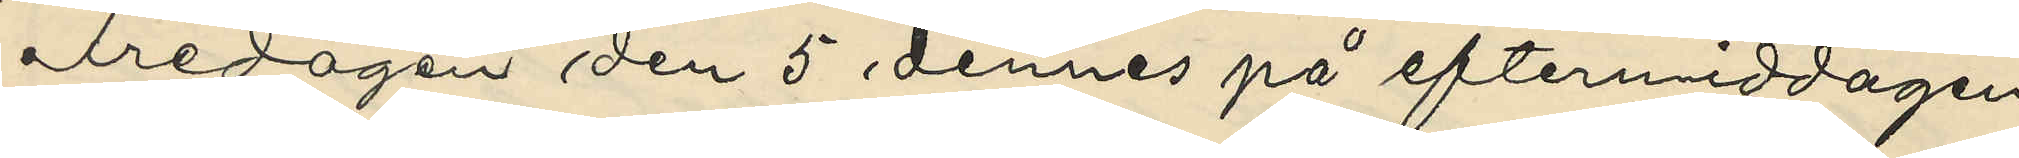Fredagen den 5 dennes på eftermiddagen
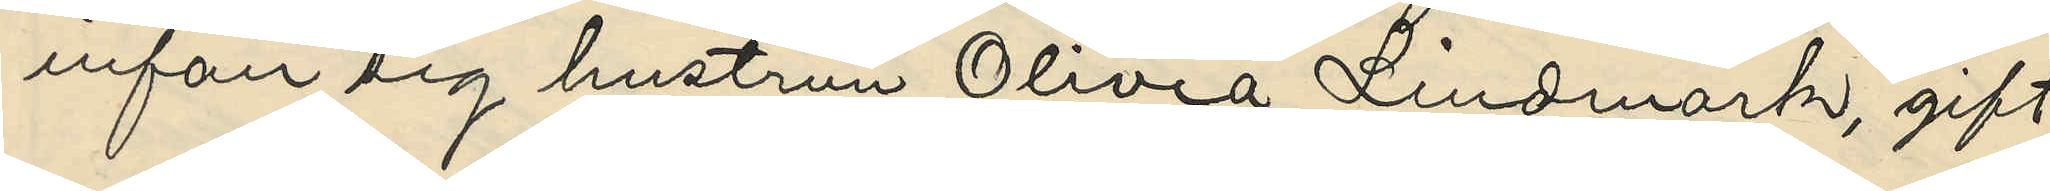infan sig hustrun Olivia Lindmark, gift
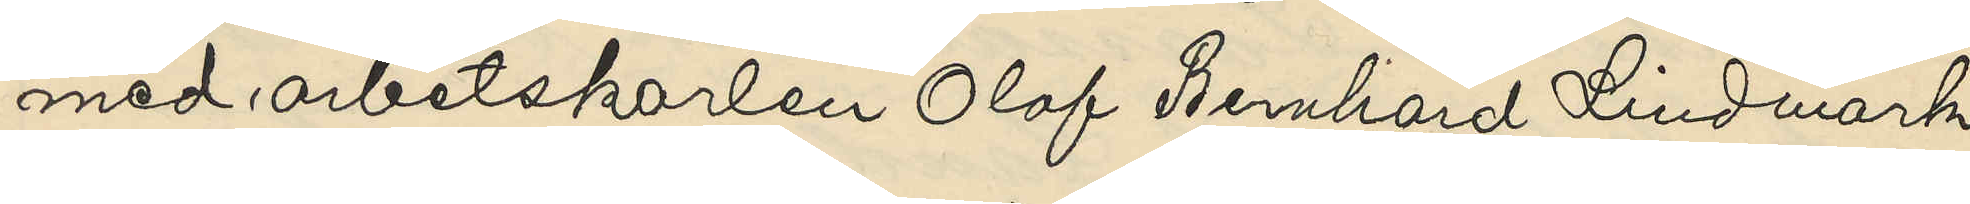med arbetskarlen Olof Bernhard Lindmark
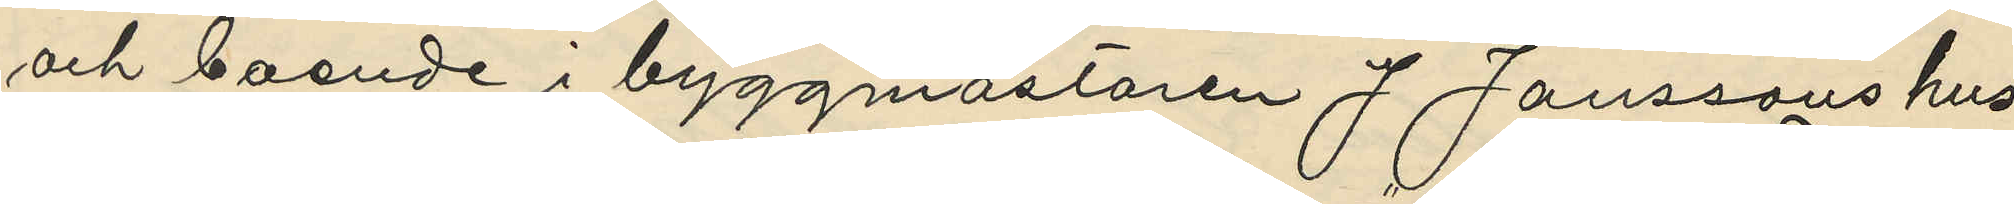och boende i byggmästaren J Janssons hus
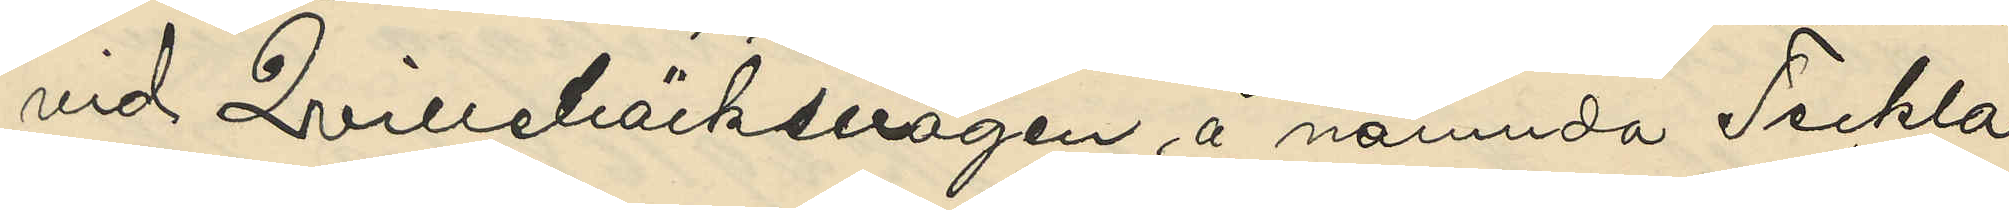vid Qvillebäcksvägen å nämnda Teckla
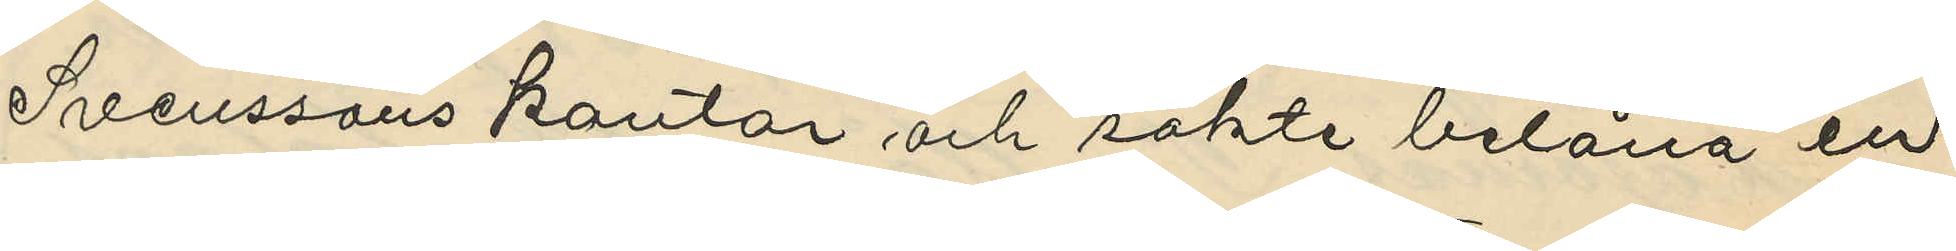Svenssons kontor och sökte belåna en
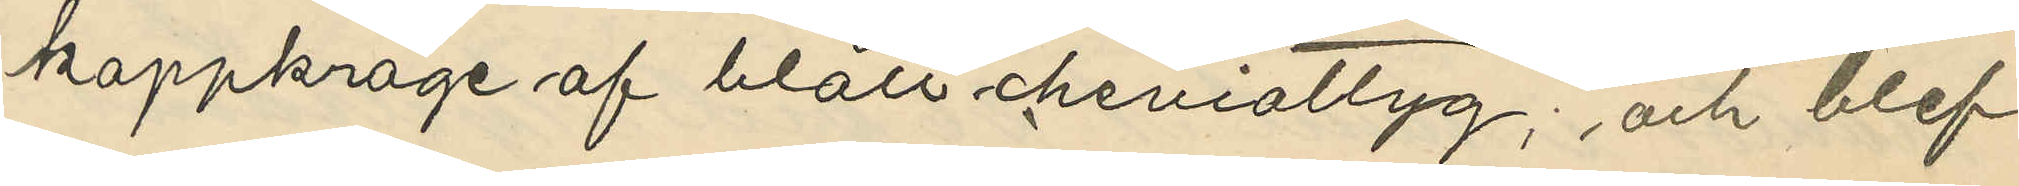kappkrage af blått cheviottyg; och blef
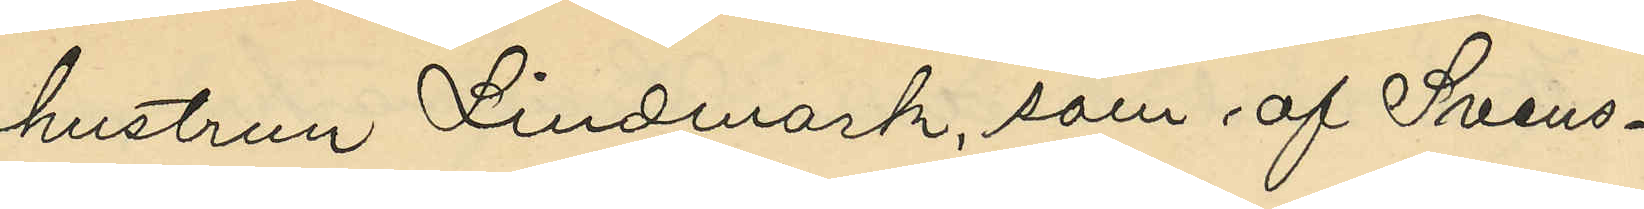hustrun Lindmark, som af Svens¬
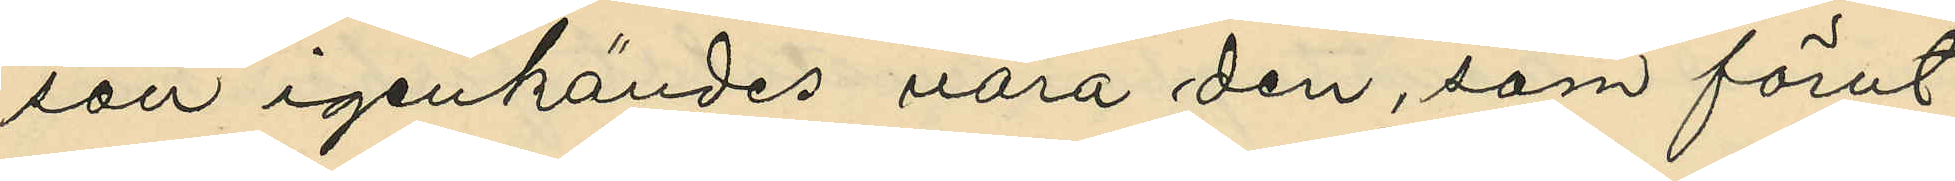son igenkändes vara den, som förut
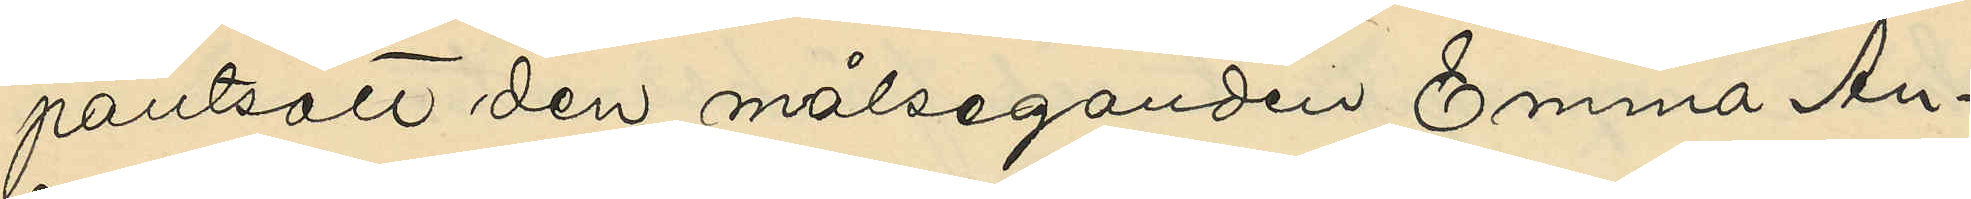pantsatt den målseganden Emma An¬
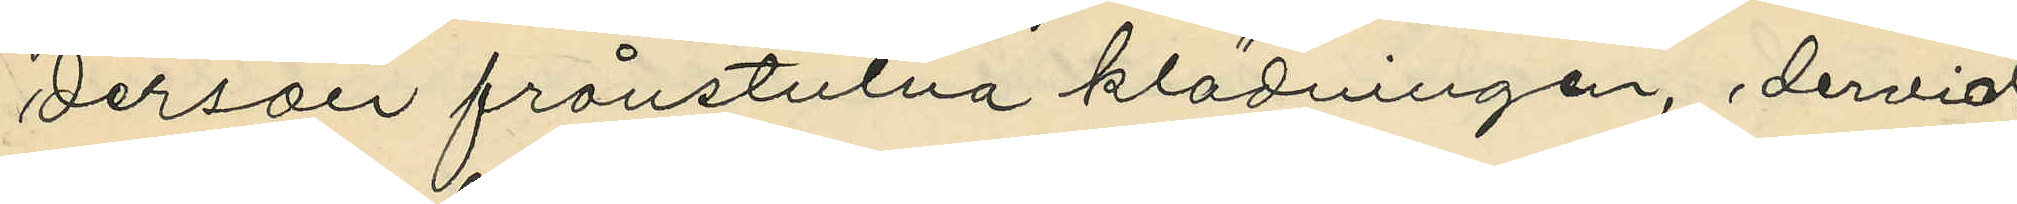derson frånstulna klädningen, dervid
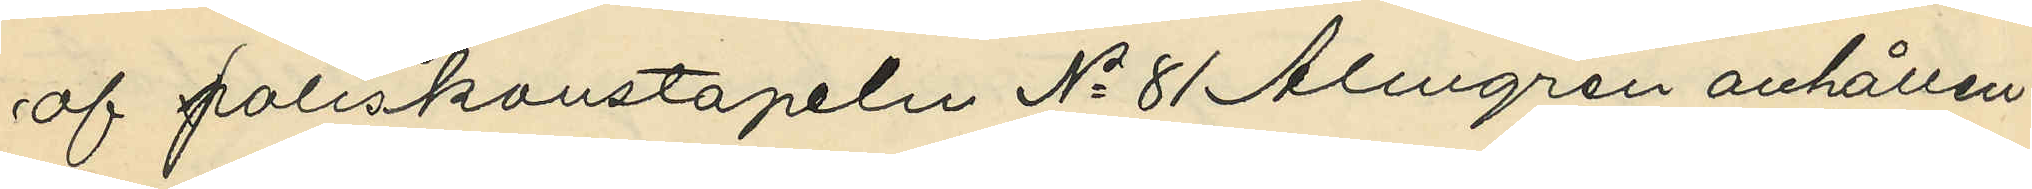af poliskonstapeln No 81 Almgren anhållen.
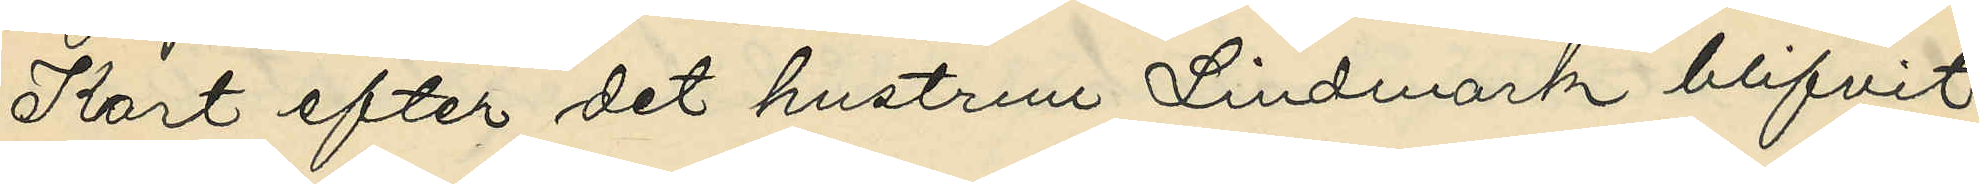Kort efter det hustrun Lindmark blifvit
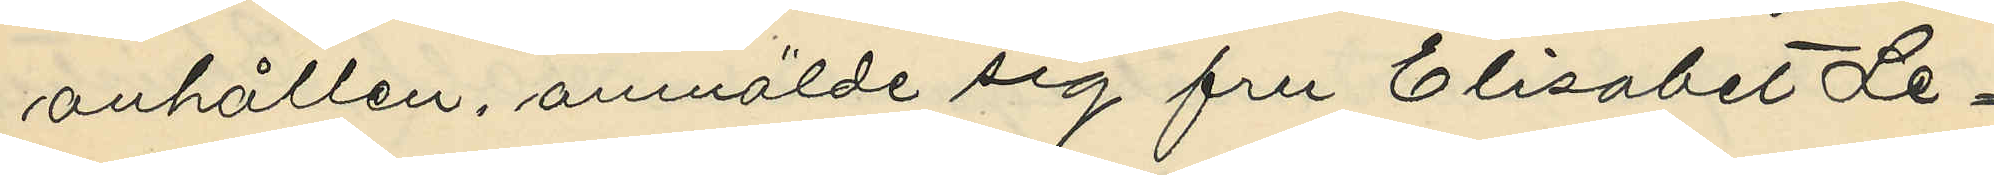anhållen, anmälde sig fru Elisabet Le¬
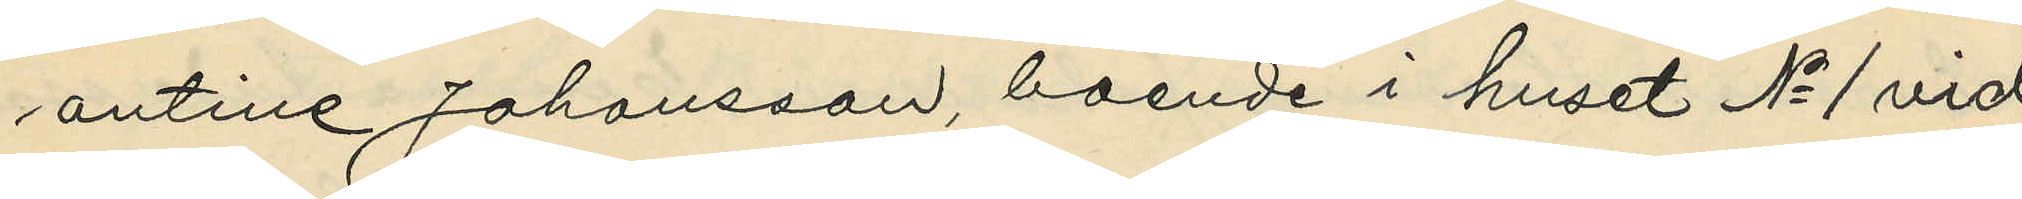ontine Johansson, boende i huset No 1 vid
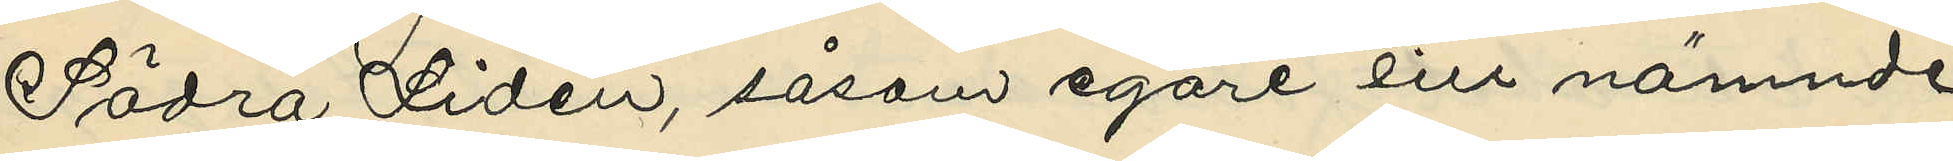Södra Liden, såsom egare till nämnde
